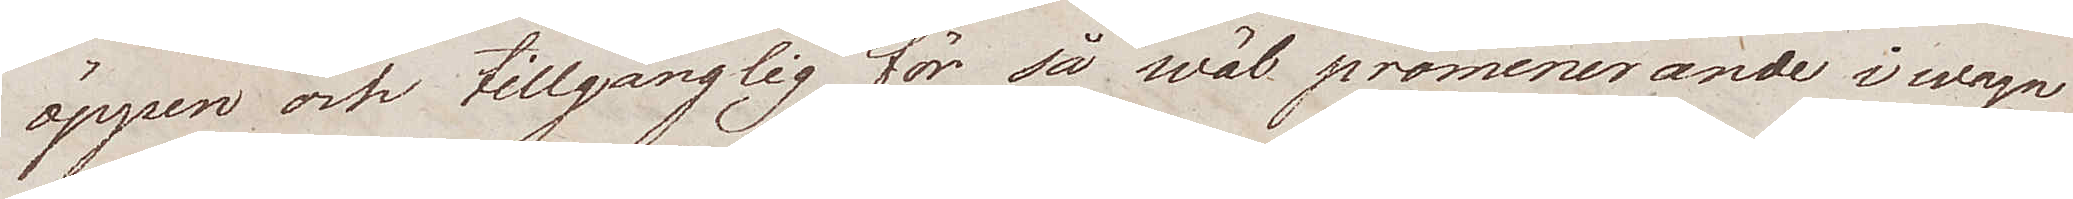öppen och tillgänglig för så wäl promenerande i wagn
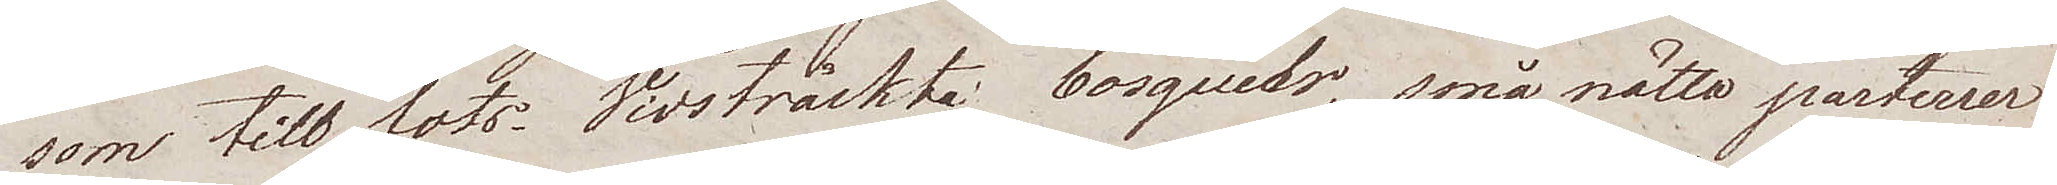som till fots. Vidsträckte bosquetr, små nätta parterser
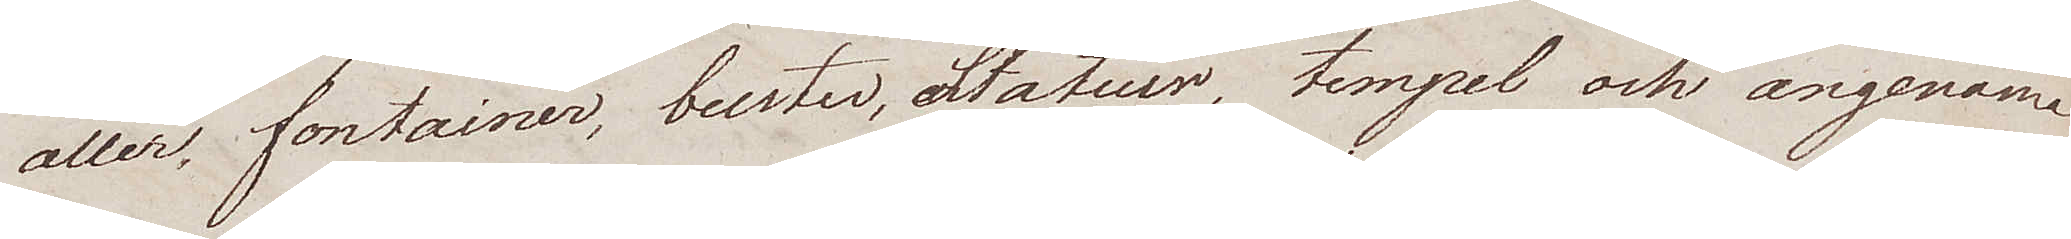allér, fontainer, buster, Statuer, tempel och angenäma
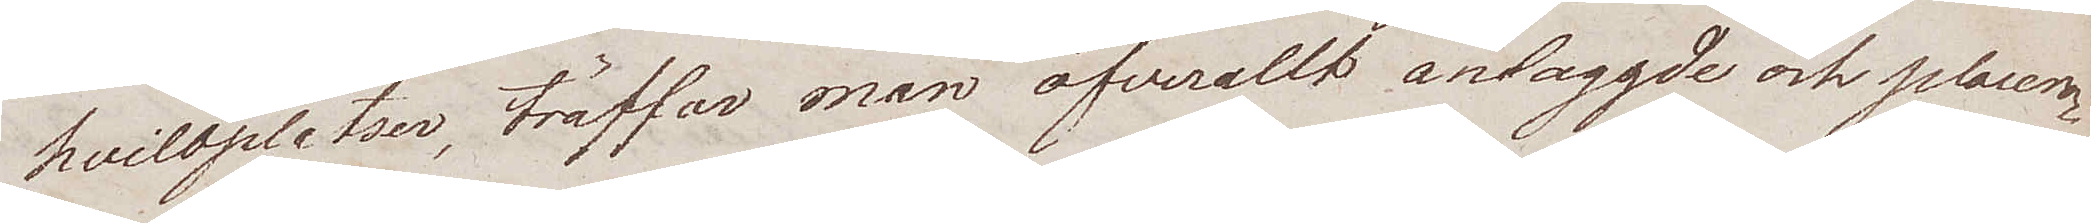hviloplatser, träffar man öfverallt anlaggde och placera¬
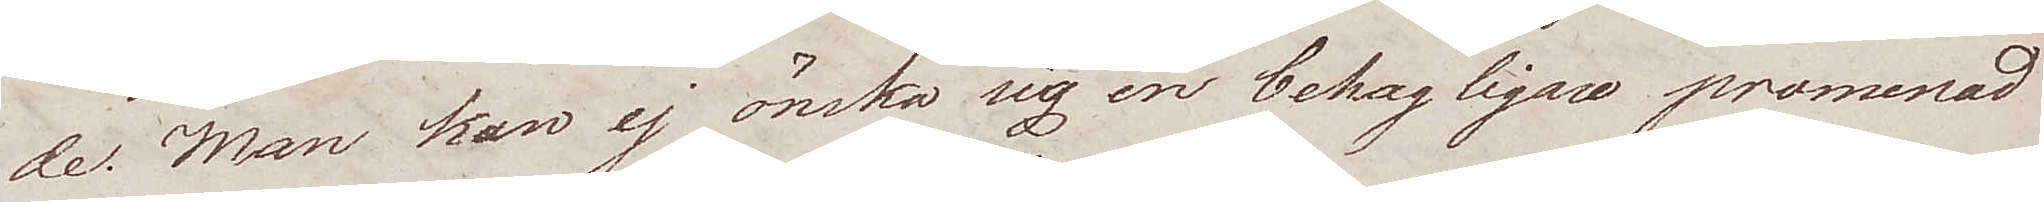de. Man kan ej önska sig en behagligare promenad¬
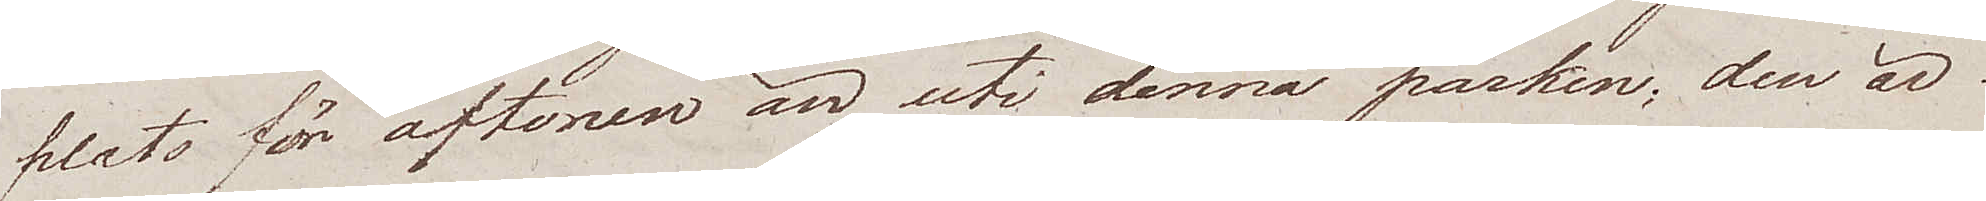plats för aftonen än uti denna parken; den är
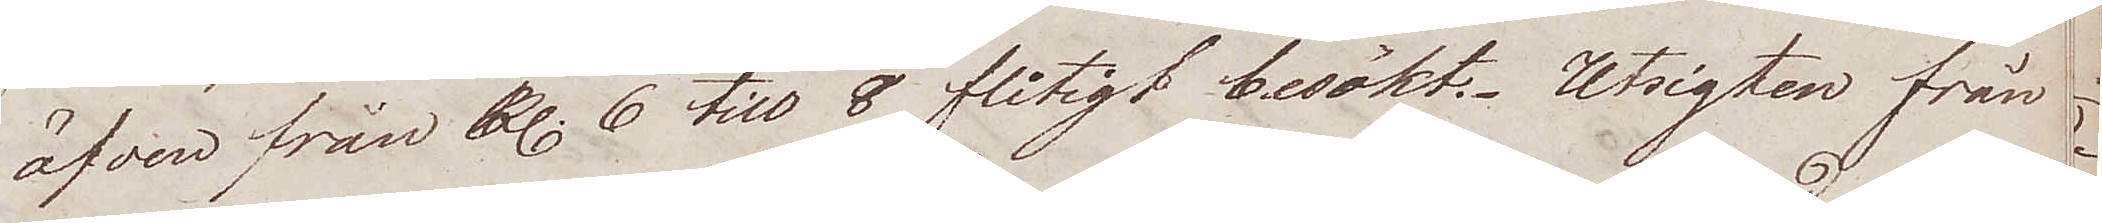äfven från kl. 6 till 8 flitigt besökt. Utsigten från
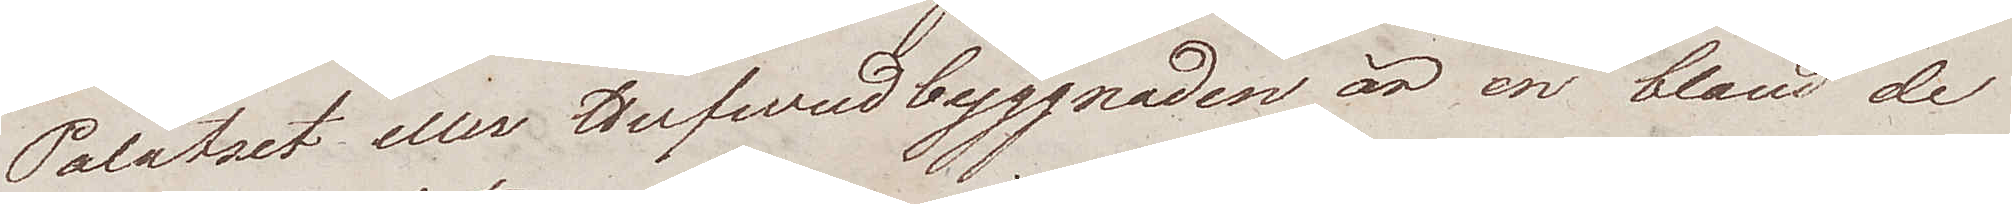Palatset eller Hufvudbyggnaden är en bland de
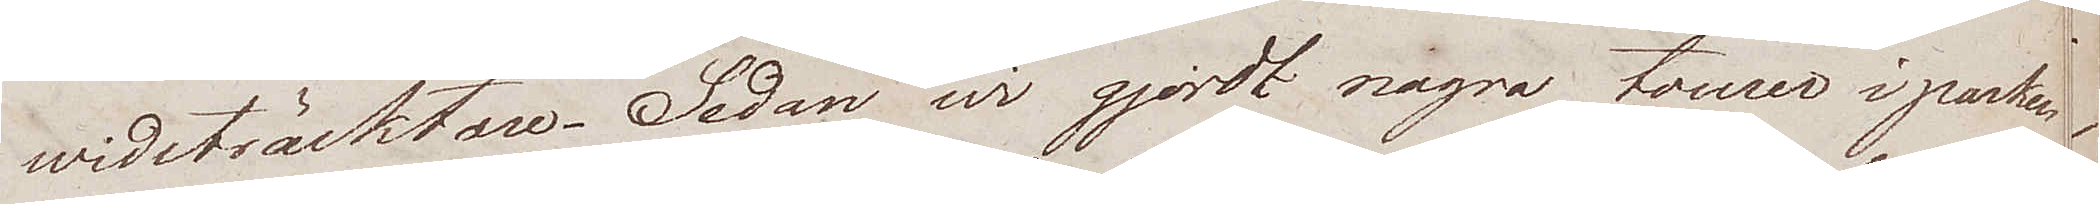widsträcktare. Sedan wi gjordt några turer i parken
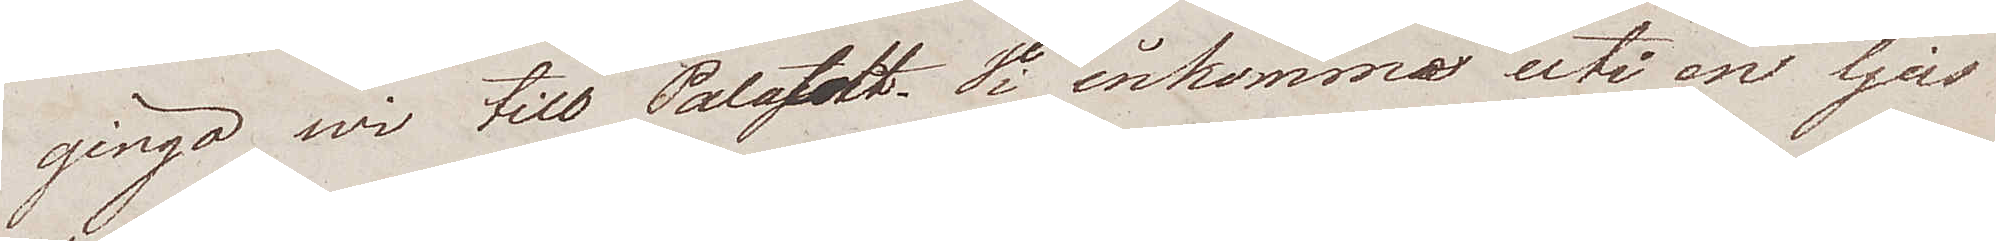gingo wi till Palatsett. Vi inkomma uti en ljus
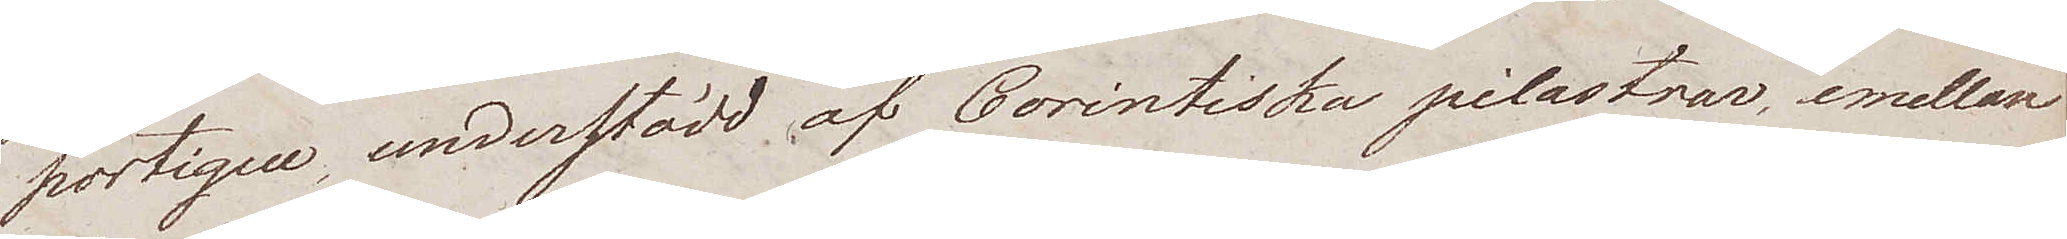portique, understödd af Corintiska pilastrar, emellan
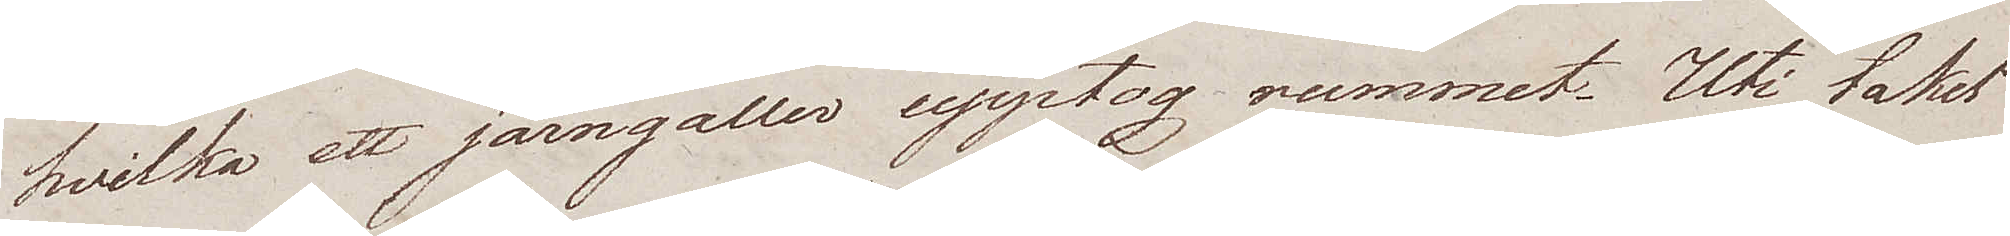hvilka ett järngaller upptog rummet. Uti taket
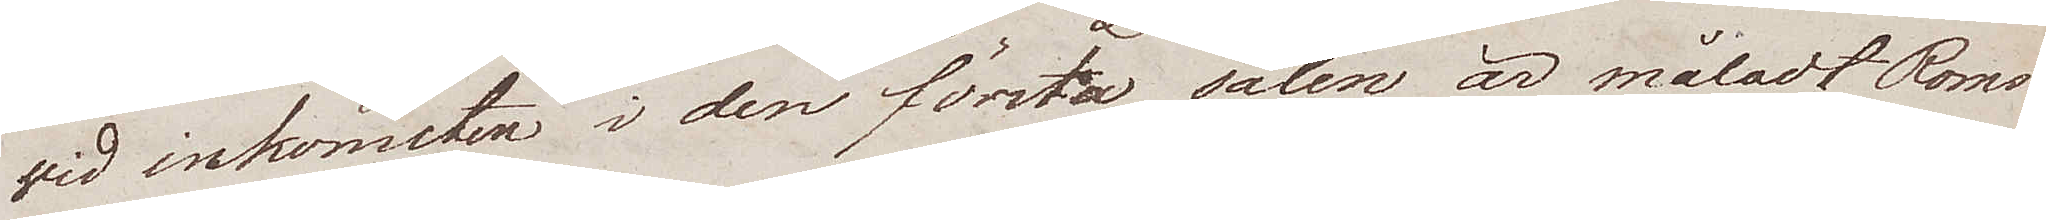vid inkomsten i den första salen är måladt Roms
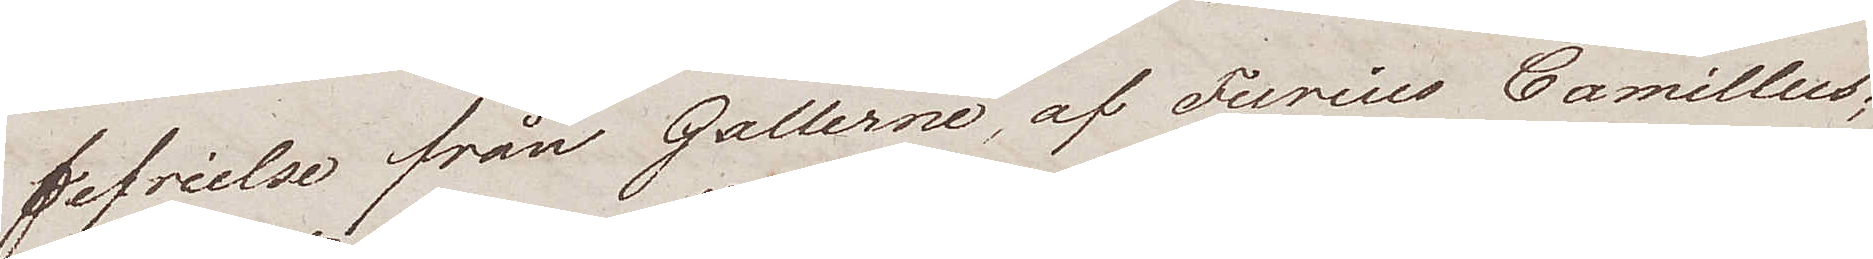befrielse från Gallerne, af Furius Camillus;
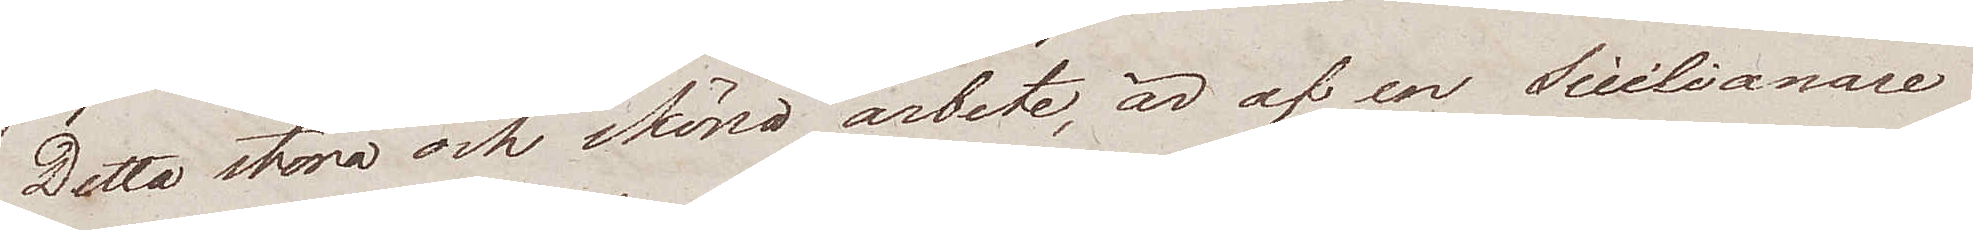Detta stora och sköna arbete, är af en Sicilianare
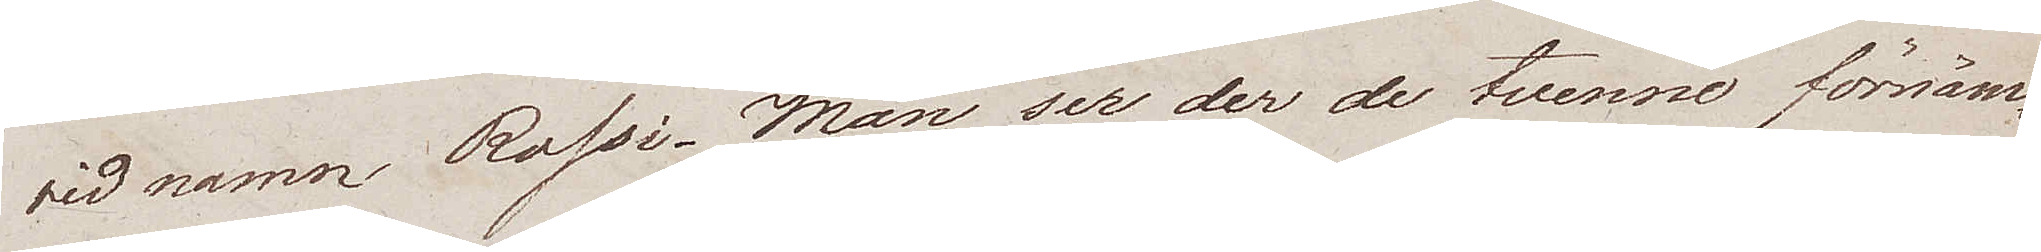vid namn Rossi. Man ser der de tvenne förnäm¬
